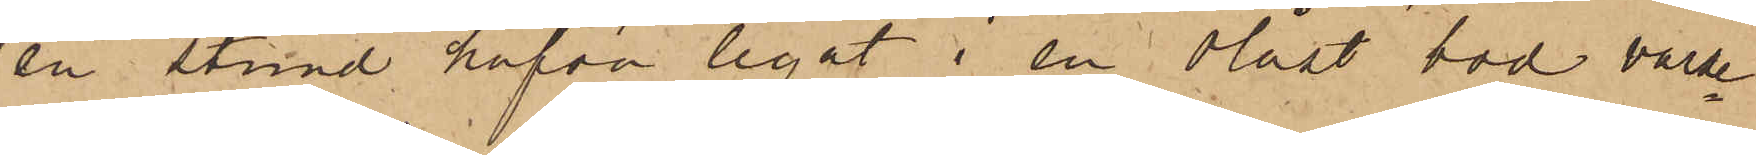en stund hafva legat i en olåst bod varse¬
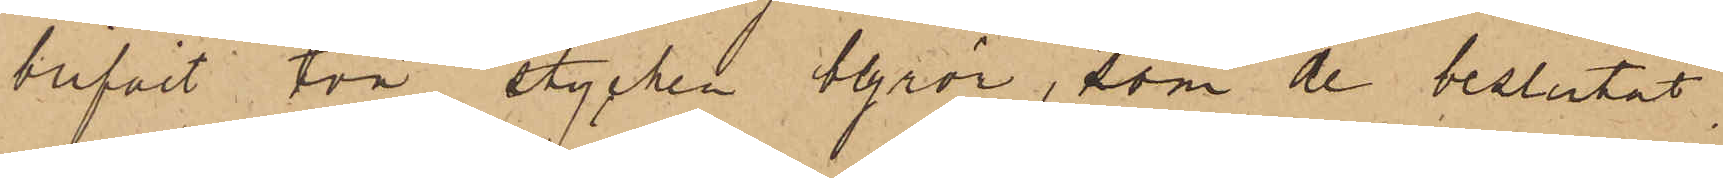blifvit två stycken blyrör, som de beslutat
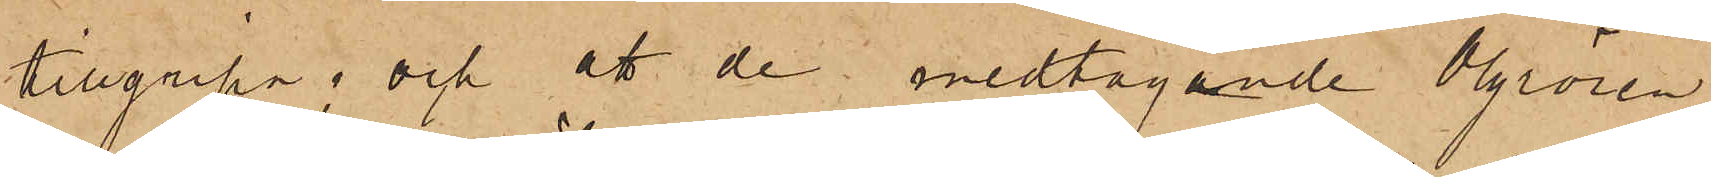tillgripa; och att de medtagande blyrören
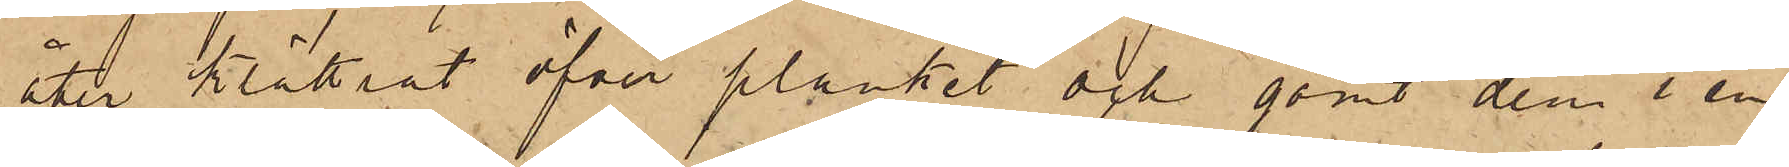åter klättrat öfver planket och gömt dem i en
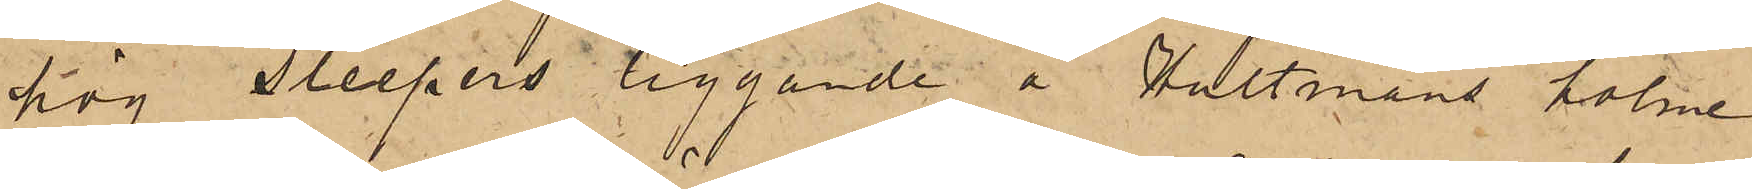hög sleepers liggande å Hultmans holme
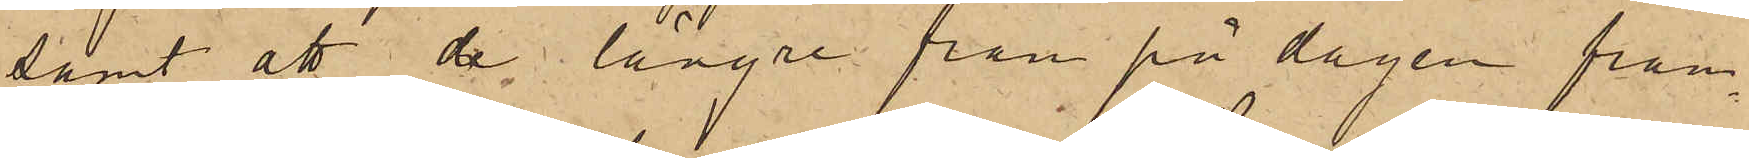samt att de längre fram på dagen fram¬
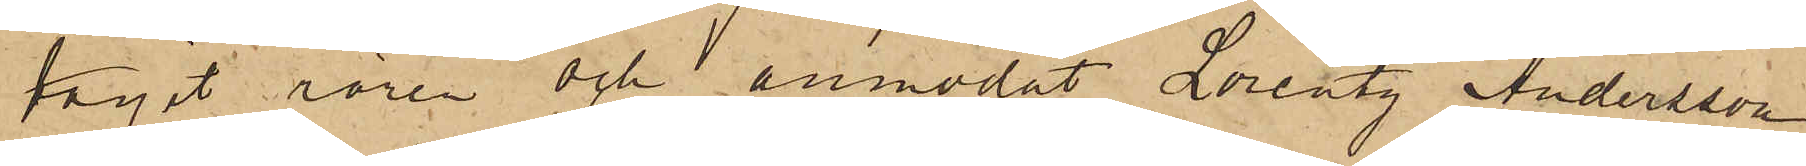tagit rören och anmodat Lorentz Andersson
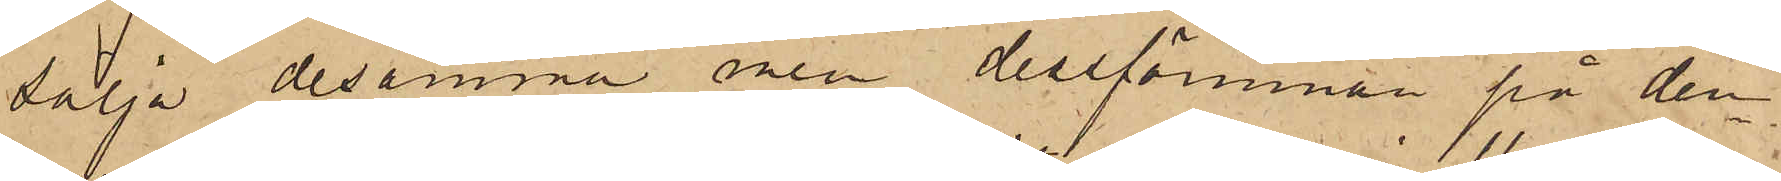sälja desamma men dessförinnan på den¬
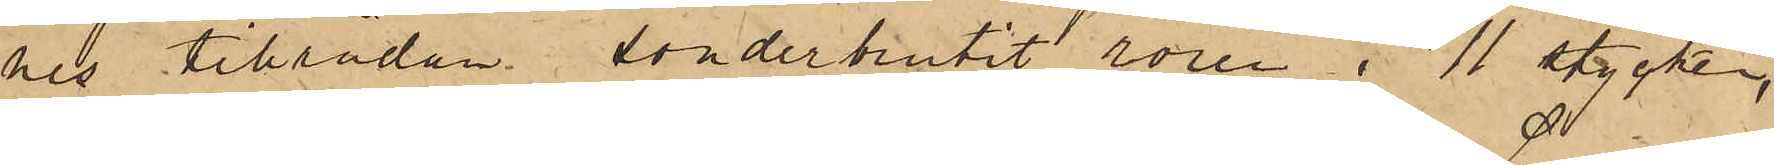nes tillrådan sönderbrutit rören i 11 stycken,
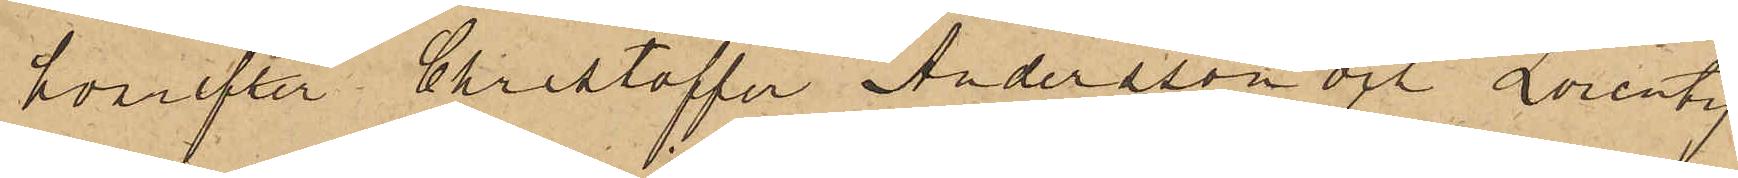hvarefter Christoffer Andersson och Lorentz
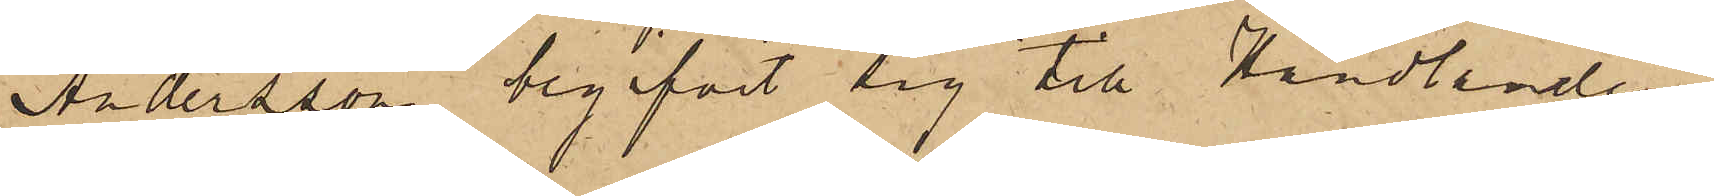Andersson begifvit sig till Handlanden
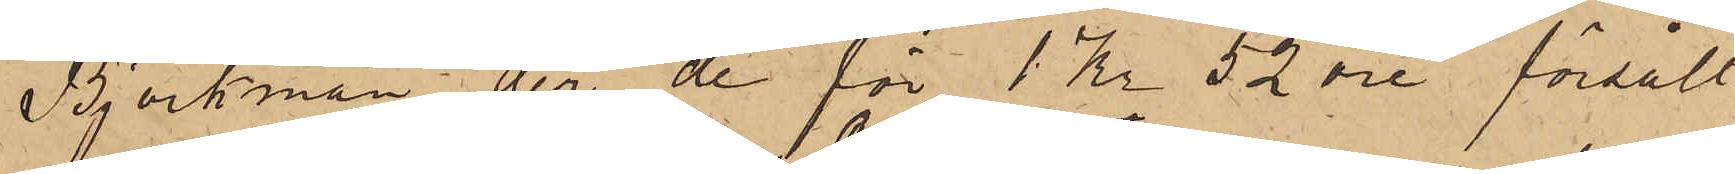Björkman, der de för 1 Kr 52 öre försålt
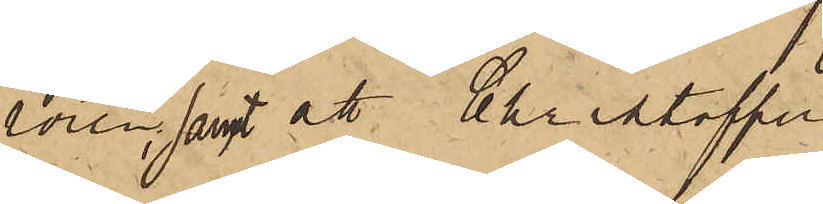rören, samt att Christoffer
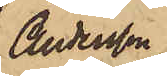Andersson
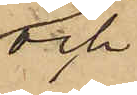och
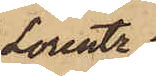Lorentz
